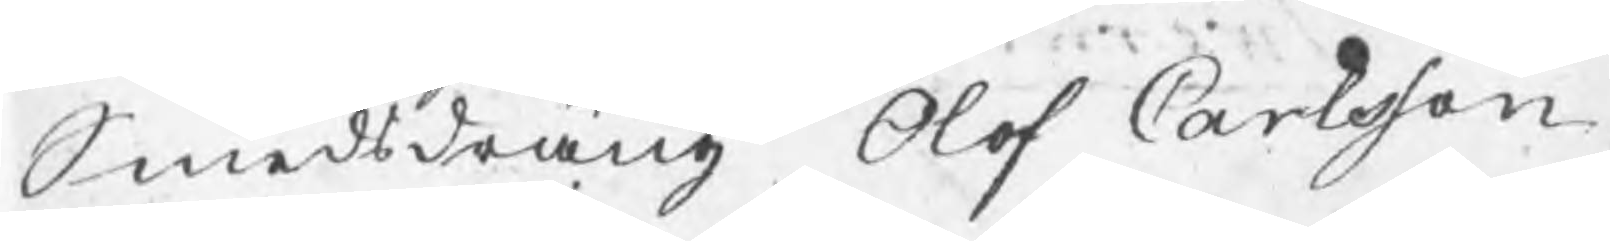Smedsdräng Olof Carlsson
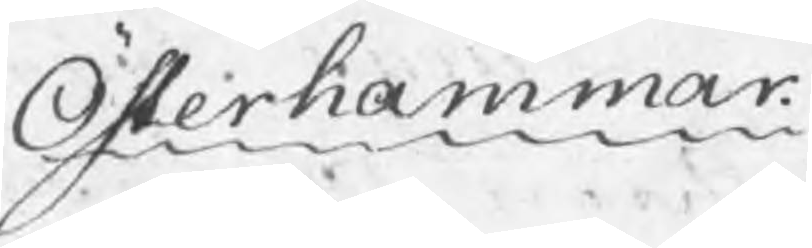Österhammar.
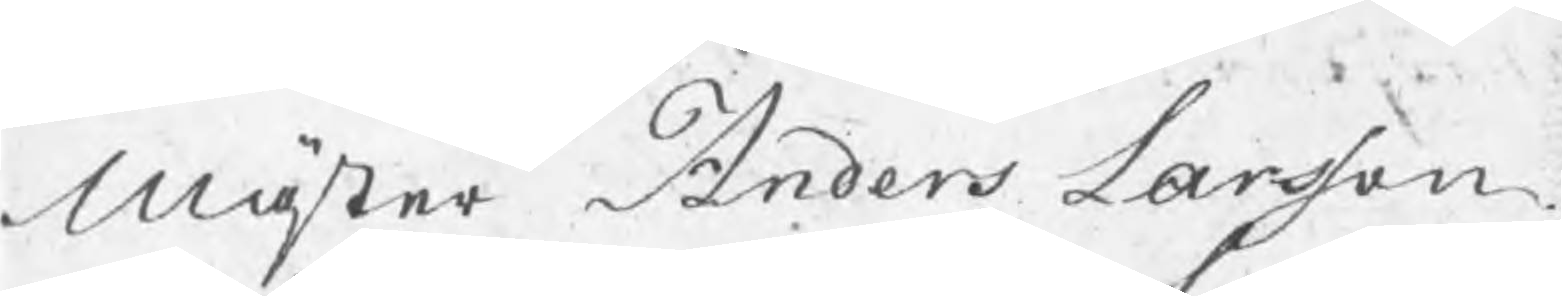Mäster Anders Larsson
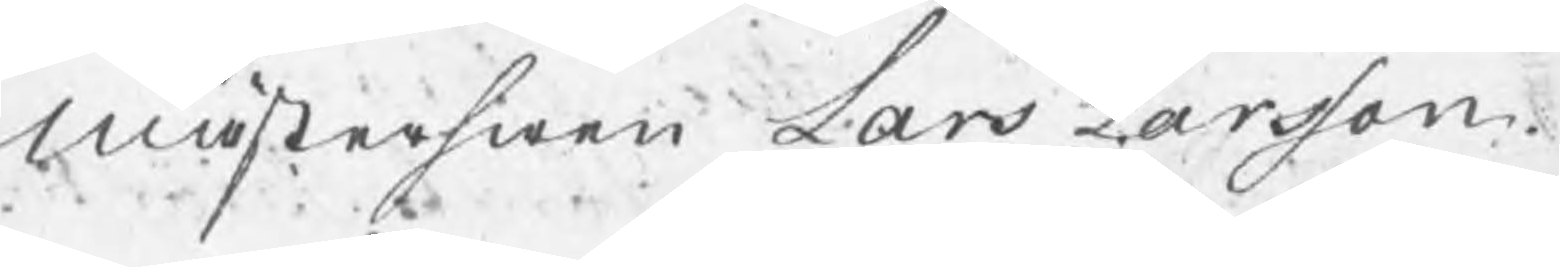Mästerswen Lars Larsson
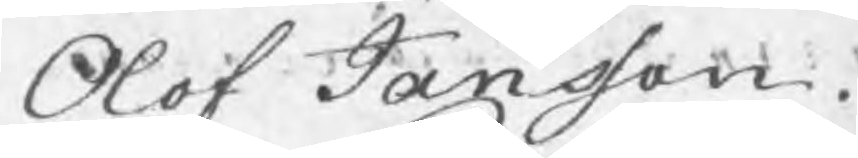Olof Jansson.
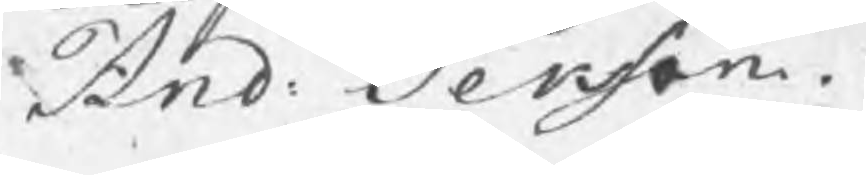And: Persson.
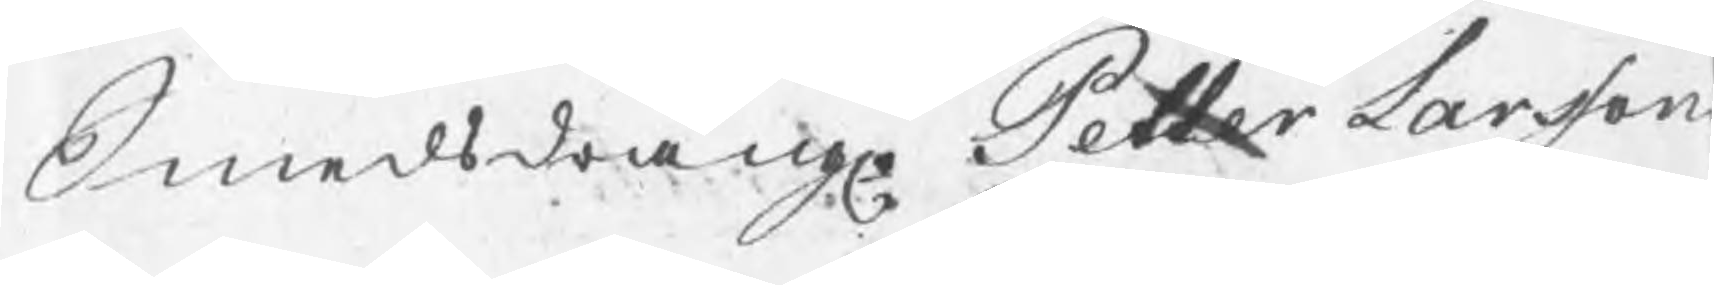Smedsdrängr Petter Larsson
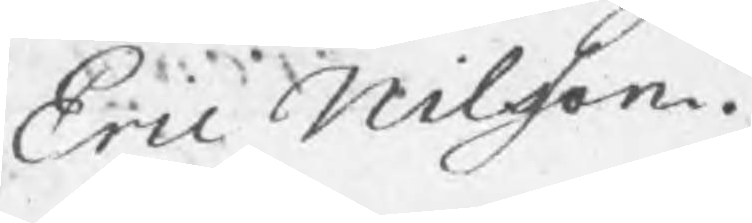Eric Nilsson.
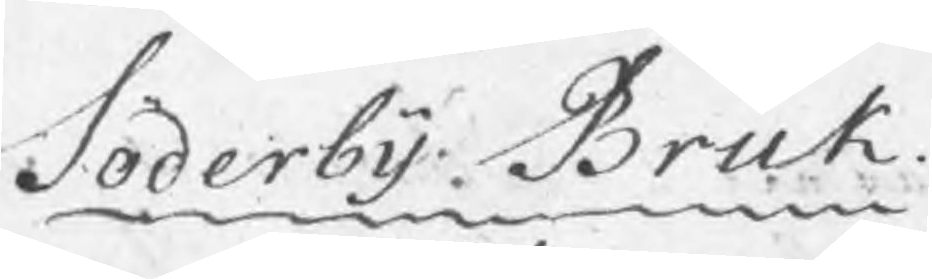Söderby Bruk.
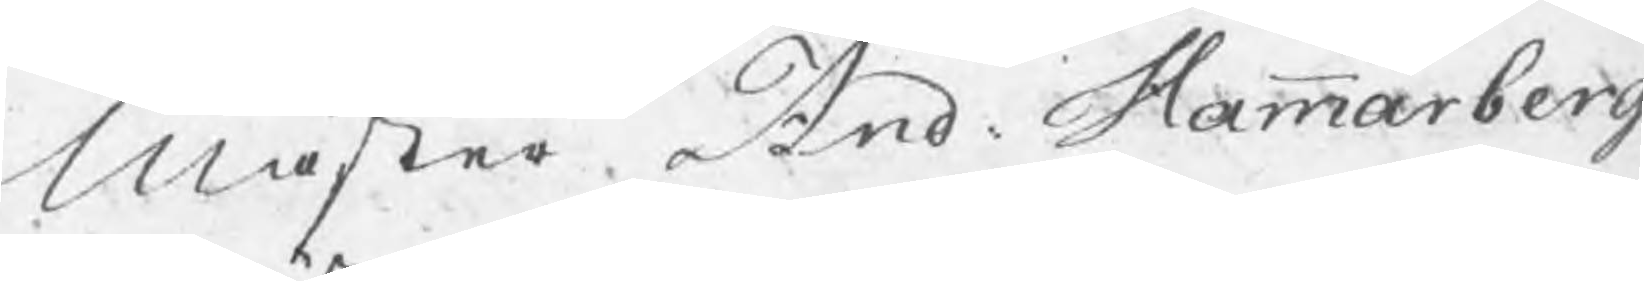Mäster And: Hammarberg
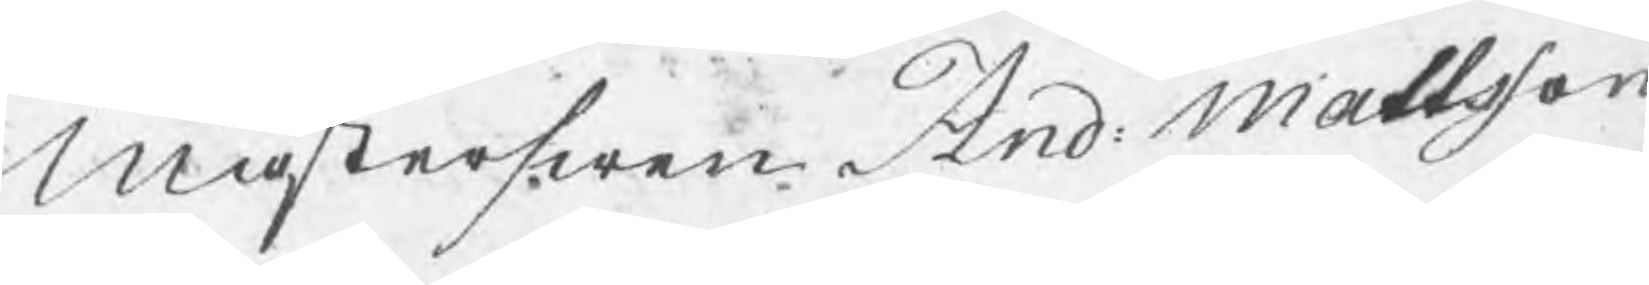Mästerswen And: Mattsson
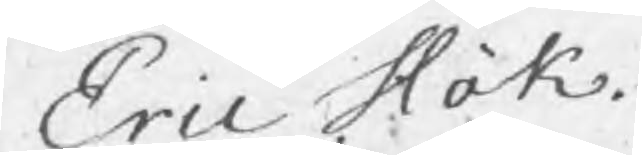Eric Hök
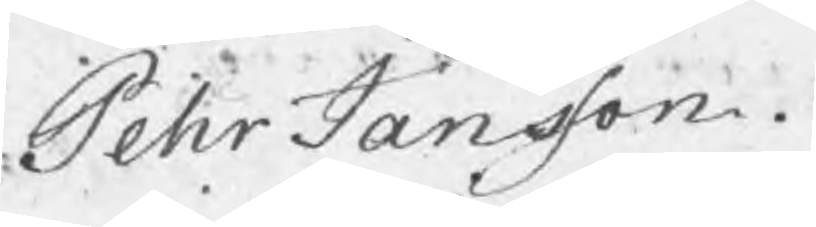Pehr Jansson.
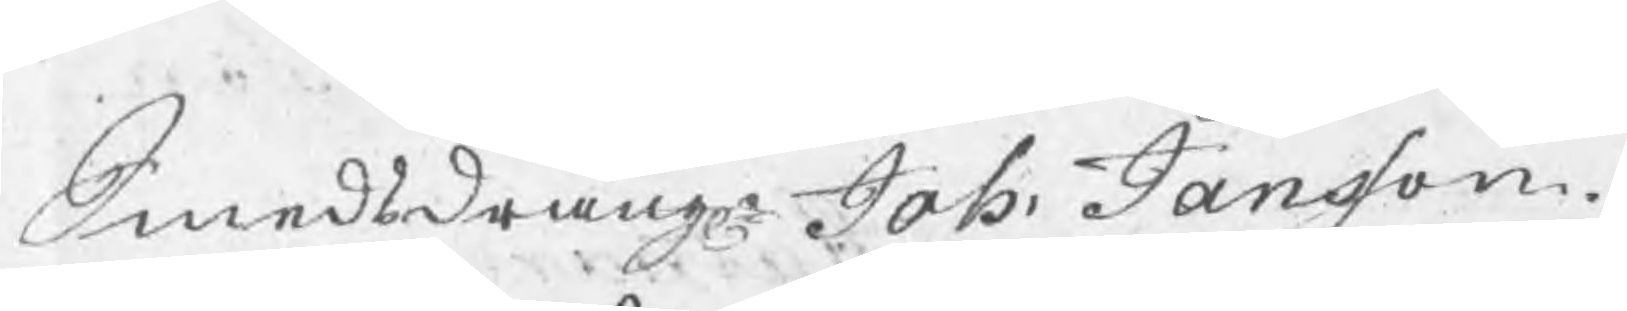Smedsdräng Joh: Jansson.
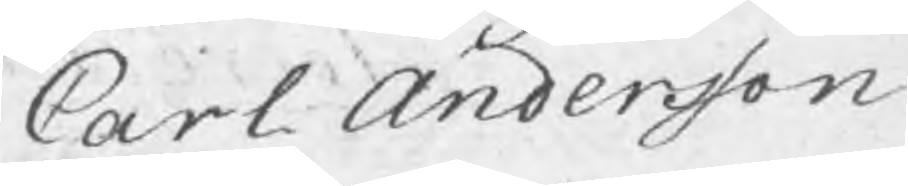Carl Andersson.
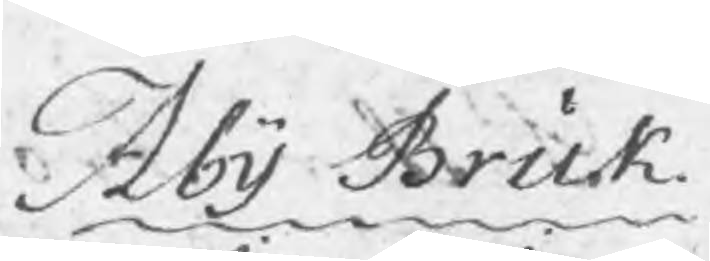Åby Bruk
